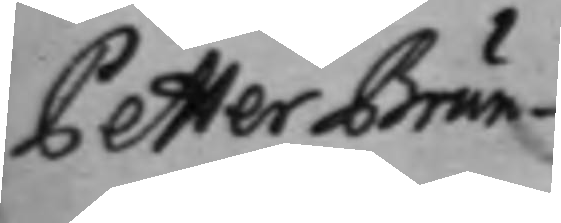Petter Brun¬
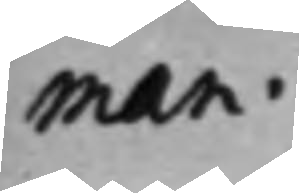man
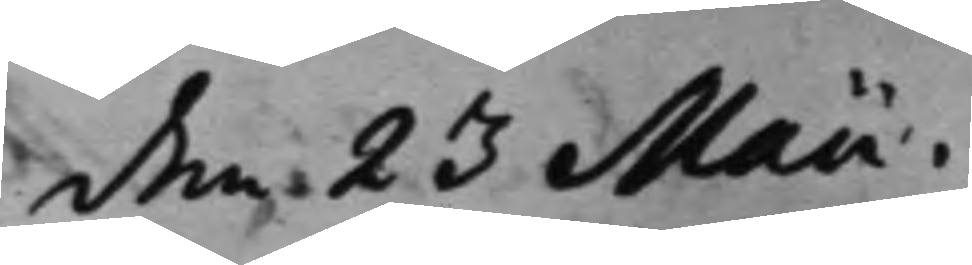den 23 Maii.
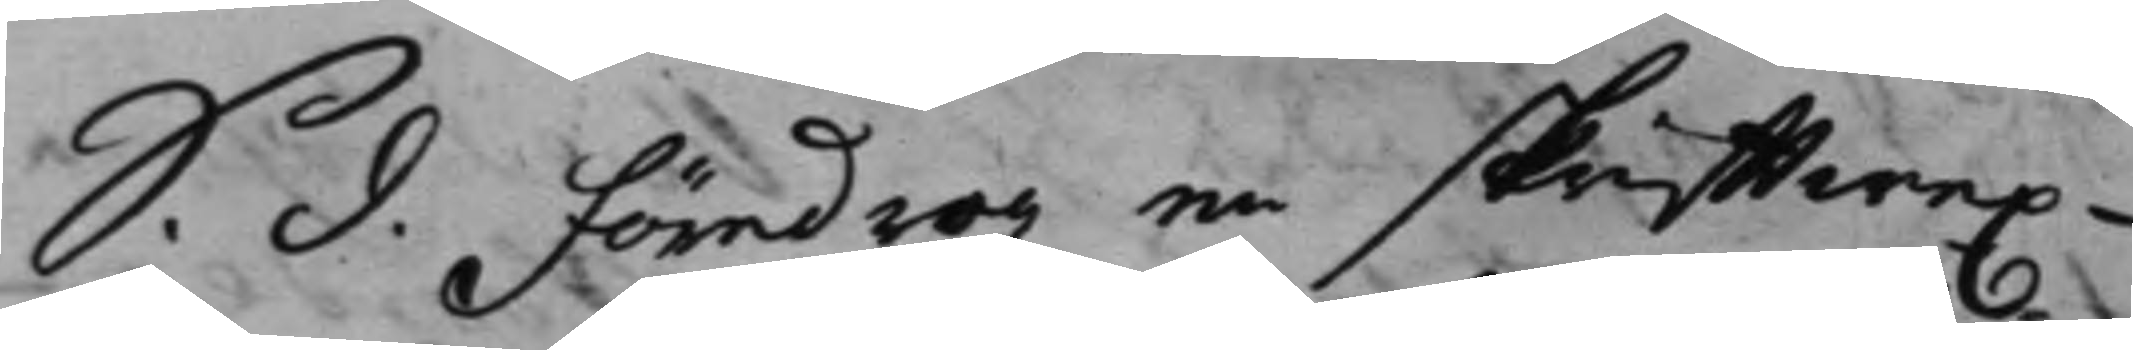S. d. föredrogz en skrifftwex¬
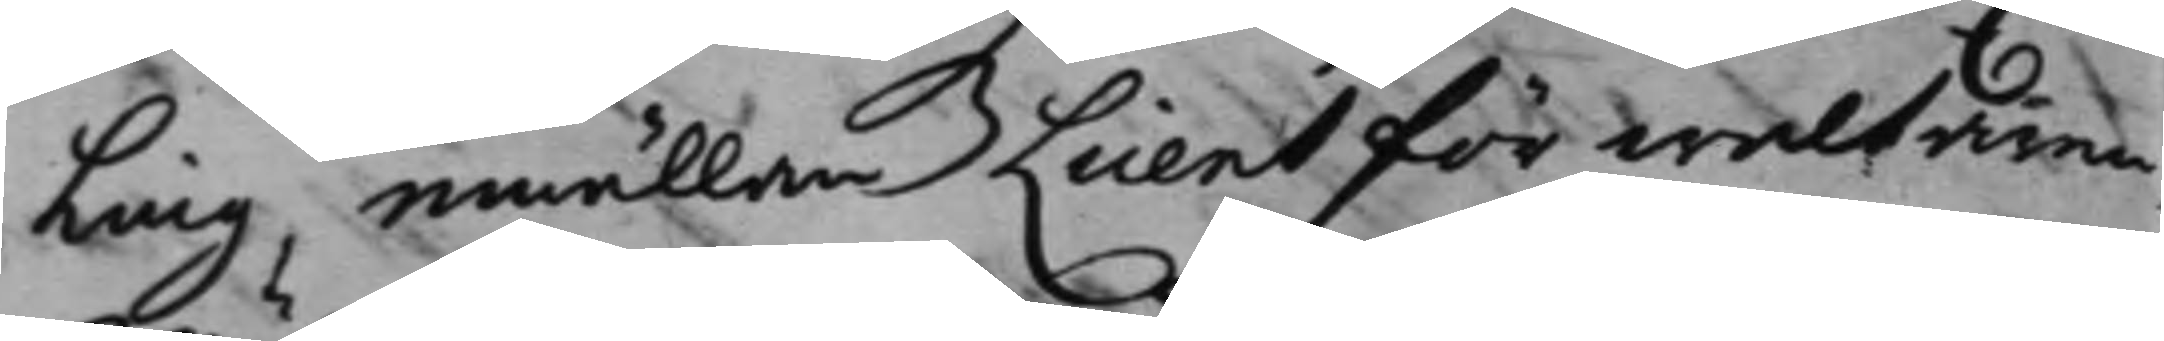ling, emällan Clientförwaltaren
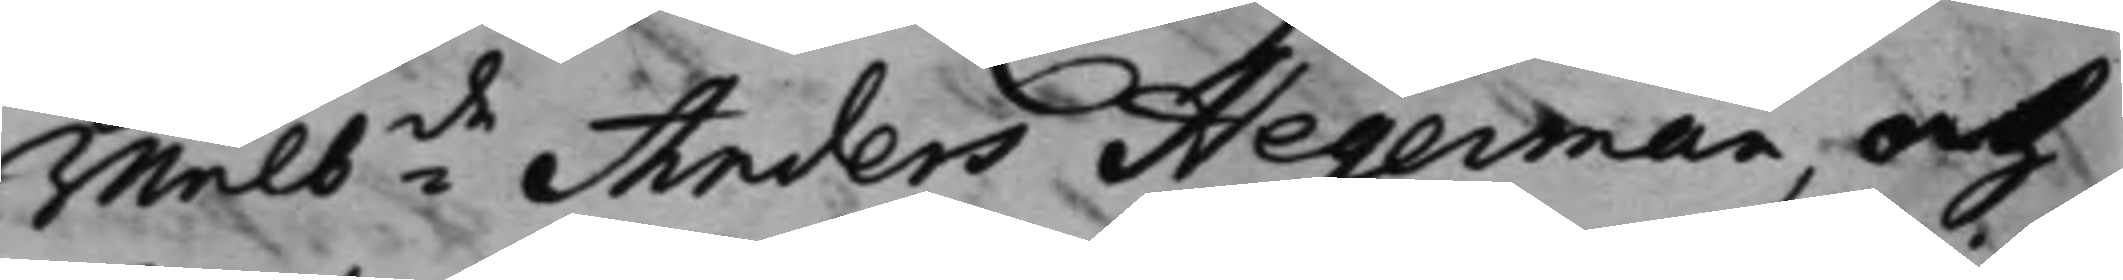wälbde Anders Hegerman, och
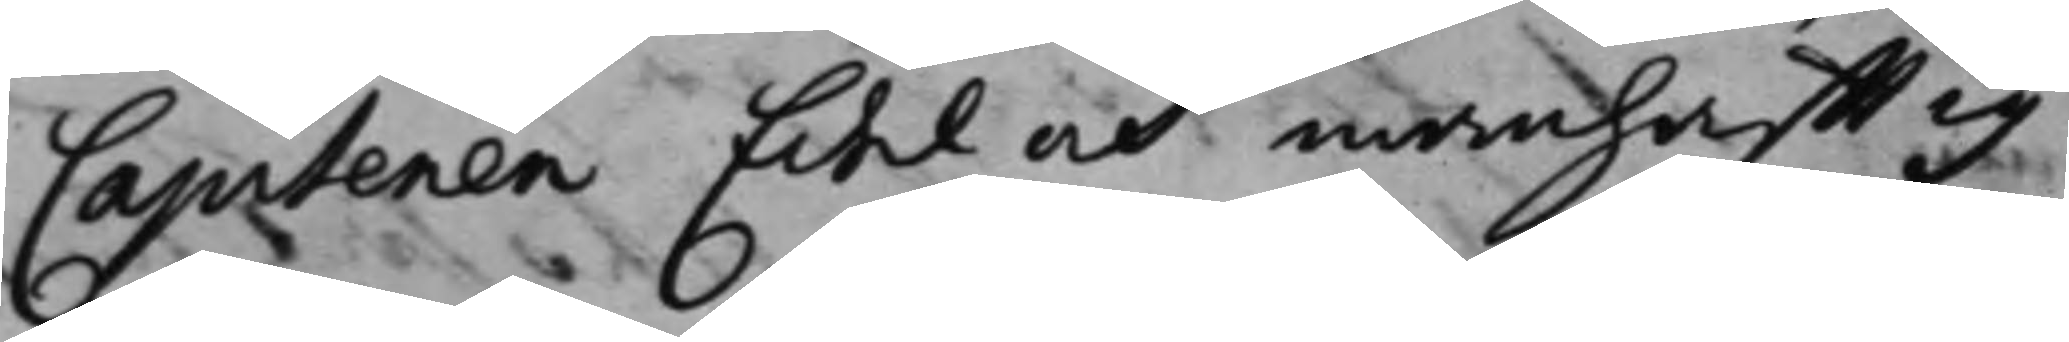Capitenen Edel och manhafftig
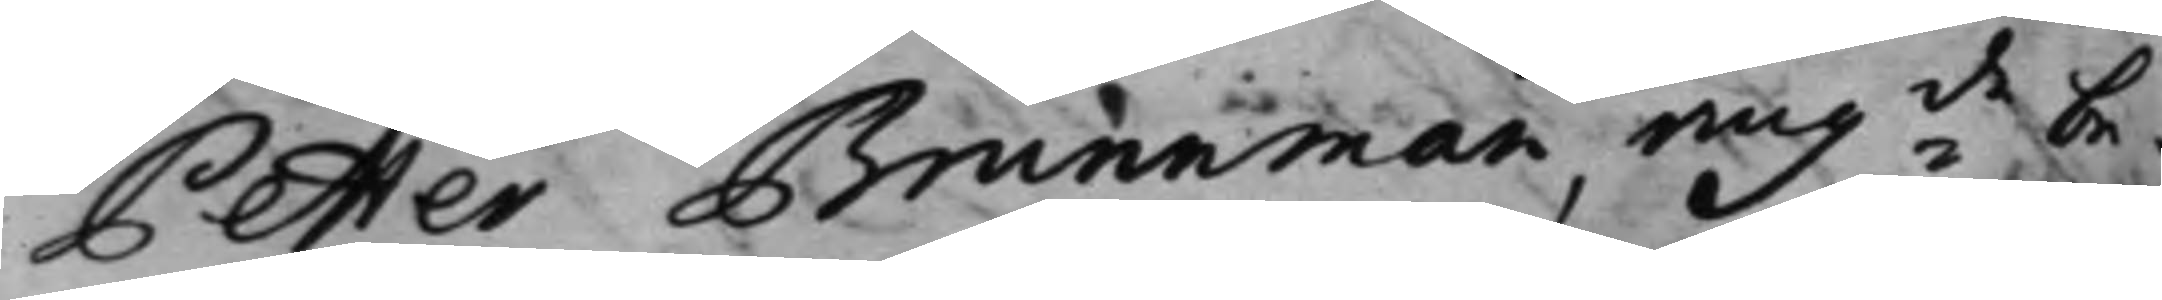Petter Brunnman, angde be¬
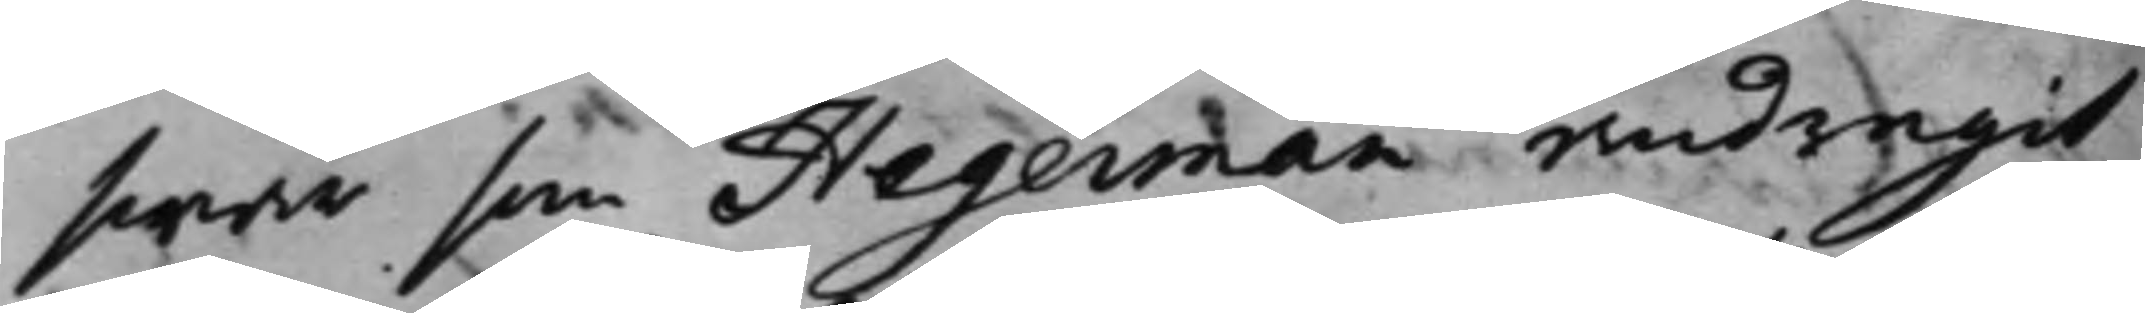swär som Hegerman andragit
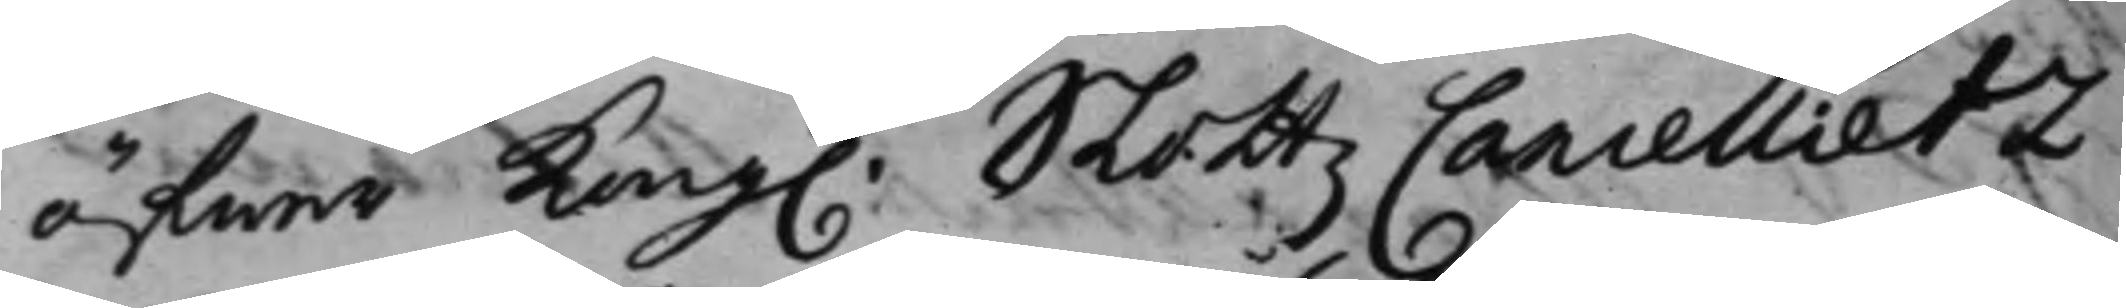öfwer Kong. SlottzCancellietz
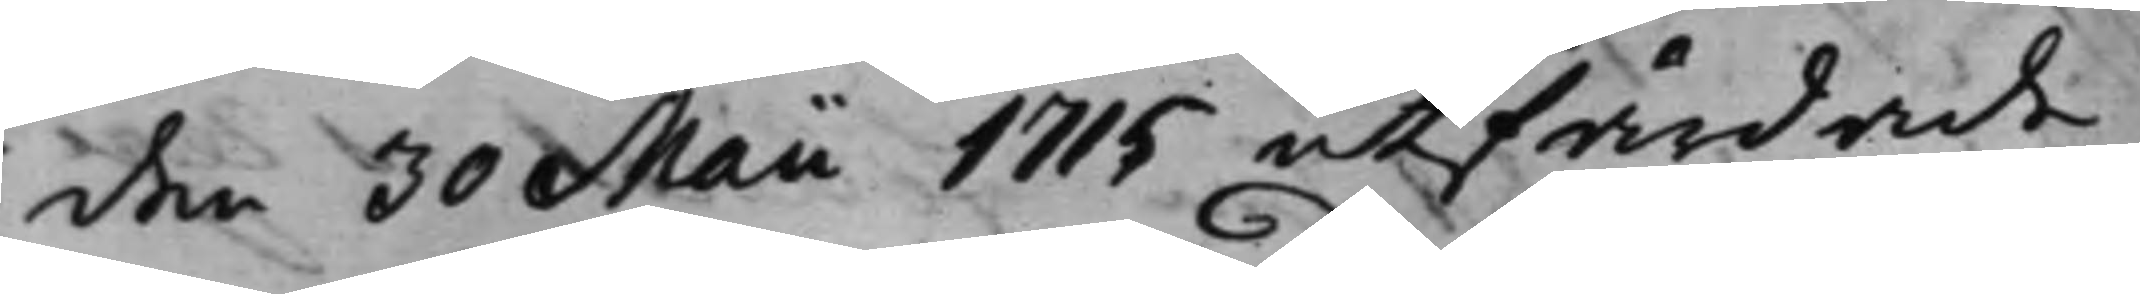den 30 Maii 1715 utfärdade
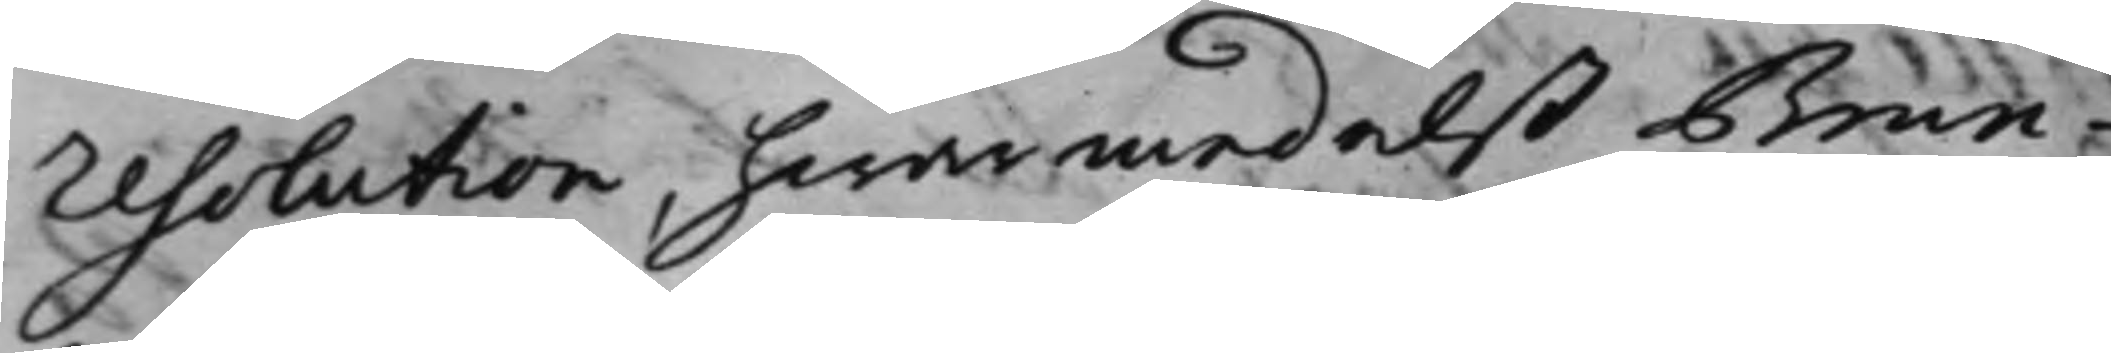resolution, hwarmedelst Brun¬
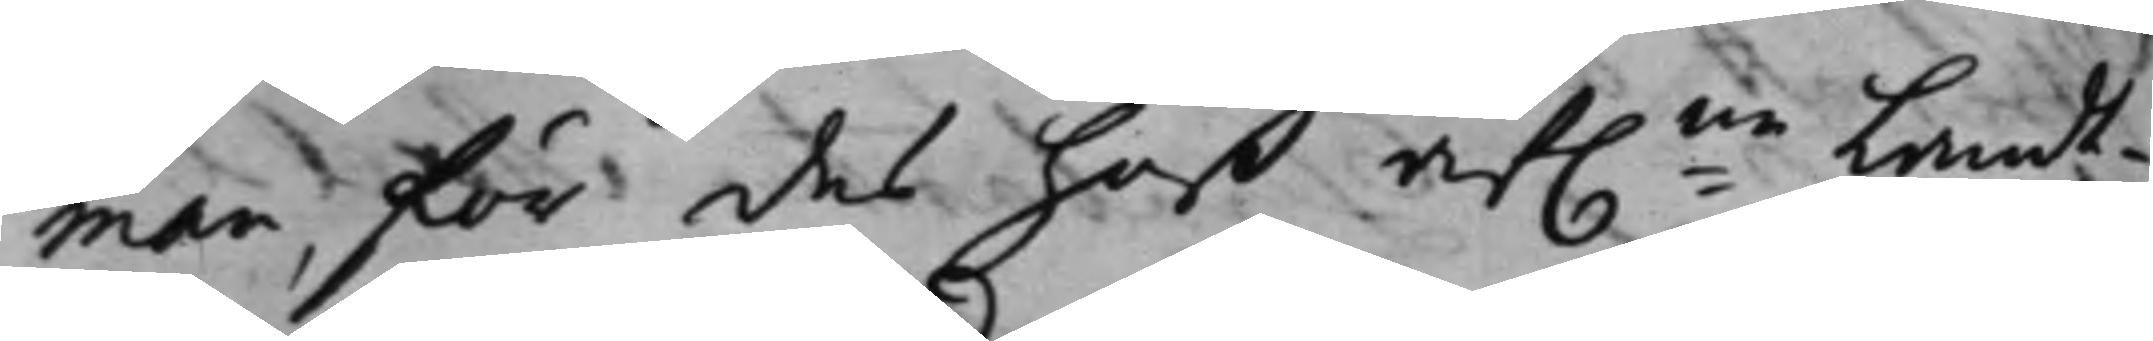man, för des hoß af.ne lands¬
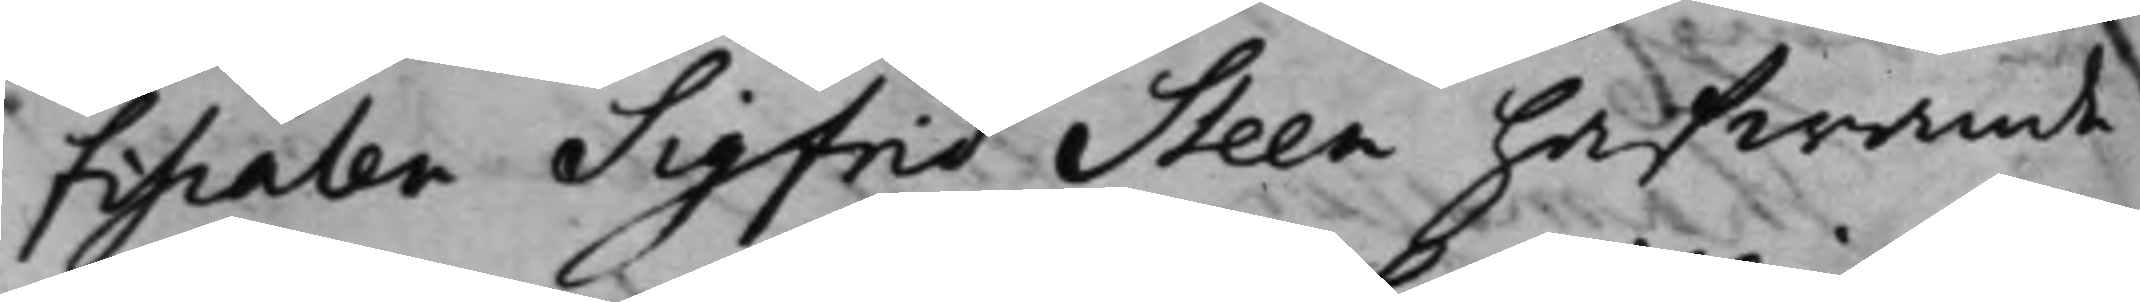fiscalen Sigfrid Steen hafwande
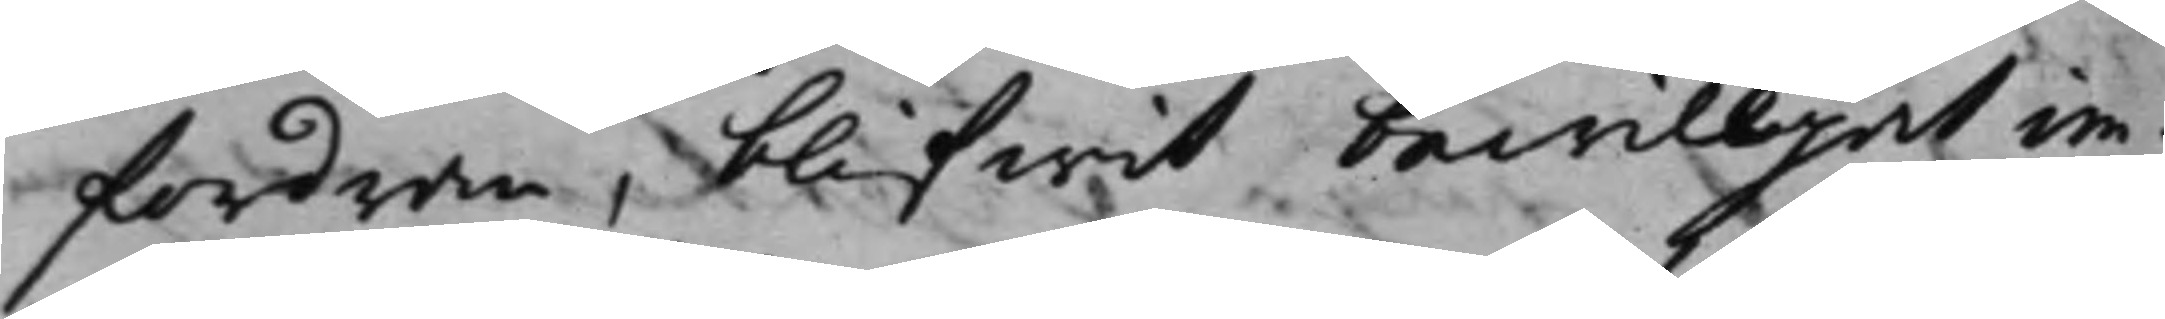fordran, blifwit bewilljat im¬
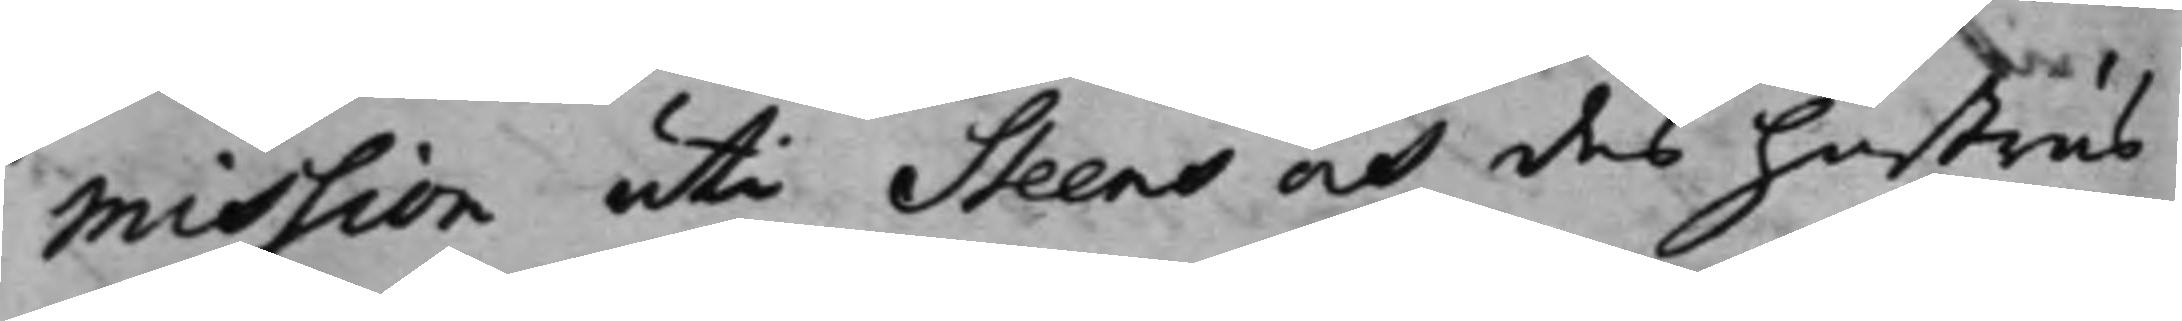mission uti Steens och des hustrus
